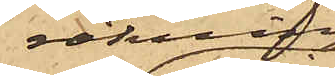räkning,
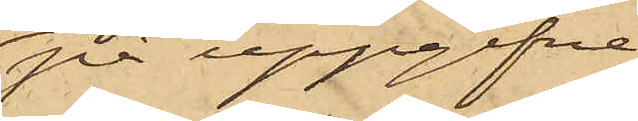på uppgifne
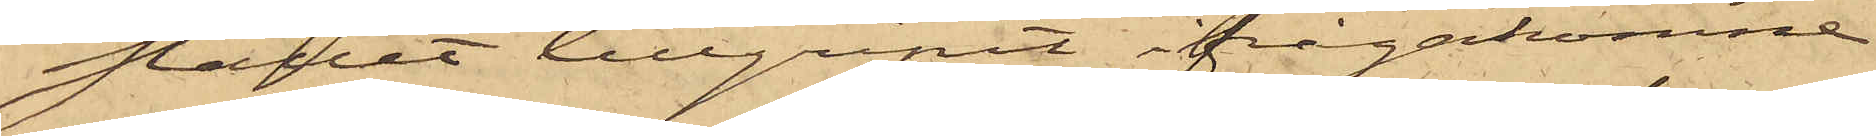stället tillgripit ifrågakomne
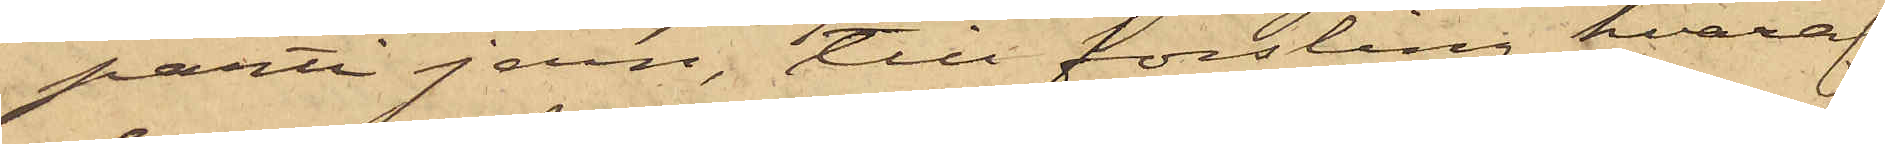parti jern, till forsling hvaraf
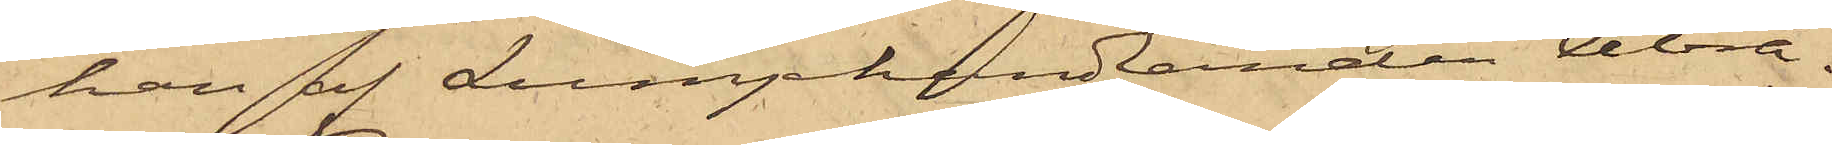han af Lumphandlanden Abra¬
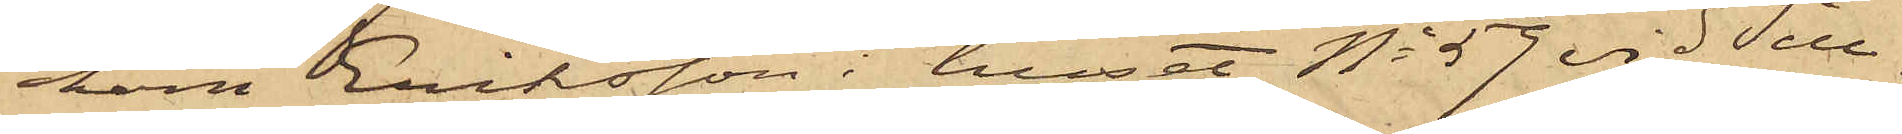ham Eriksson i huset No 59 vid Sill¬
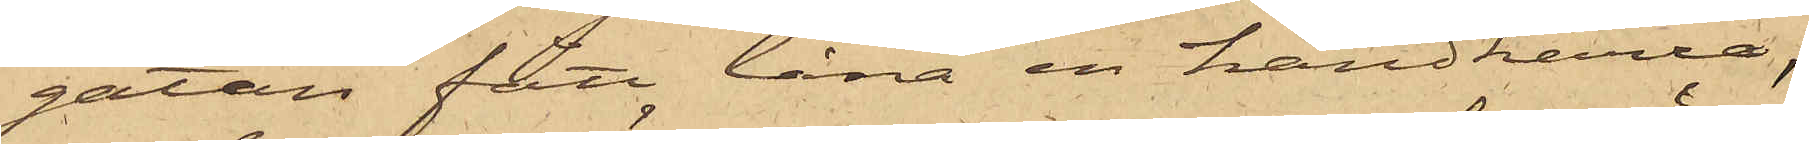gatan fått låna en handkärra;
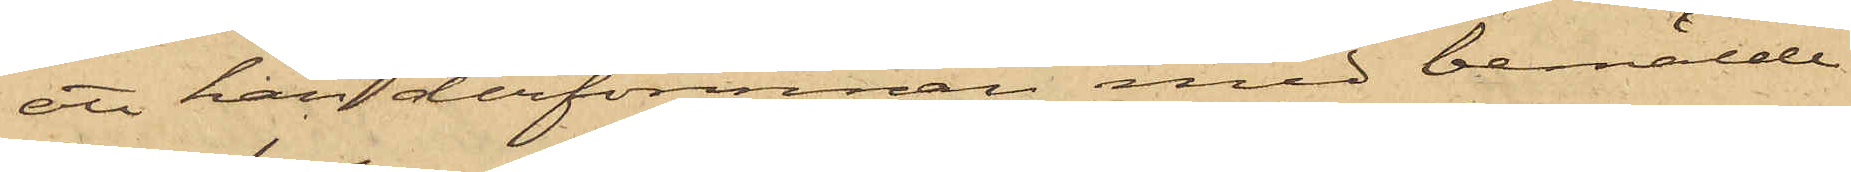att han derförinnan med bemälde
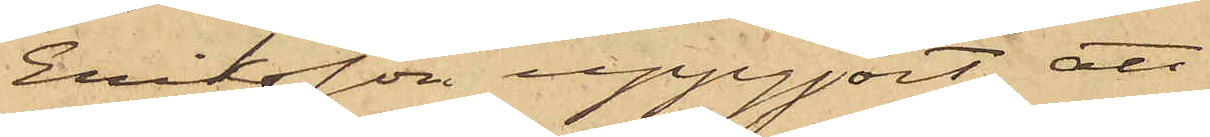Eriksson uppgjort att
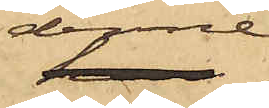denne
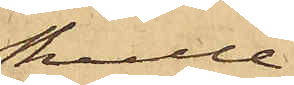skulle
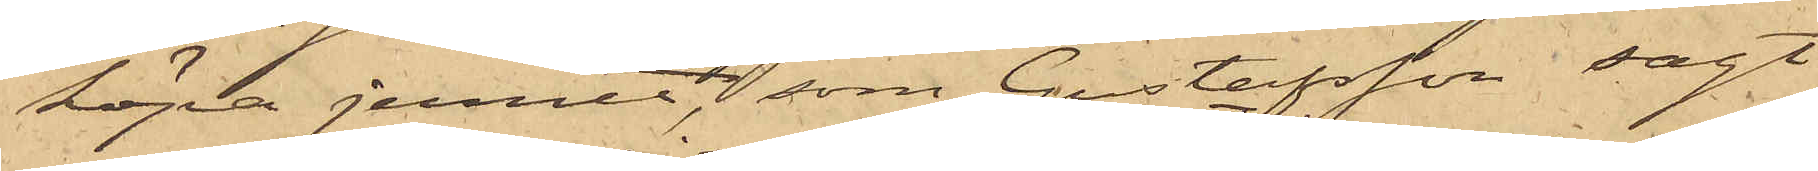köpa jernet, som Gustafsson sagt
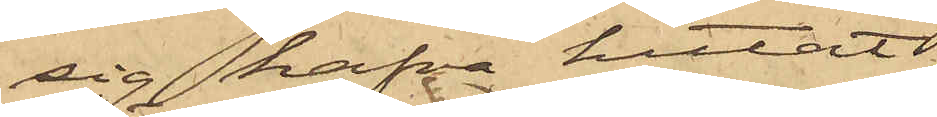sig hafva hittat
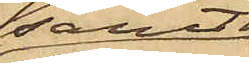samt
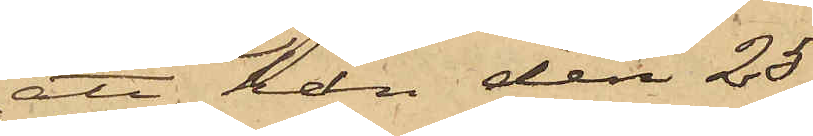att han den 23
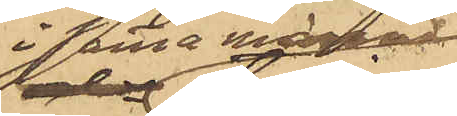i samma månad
